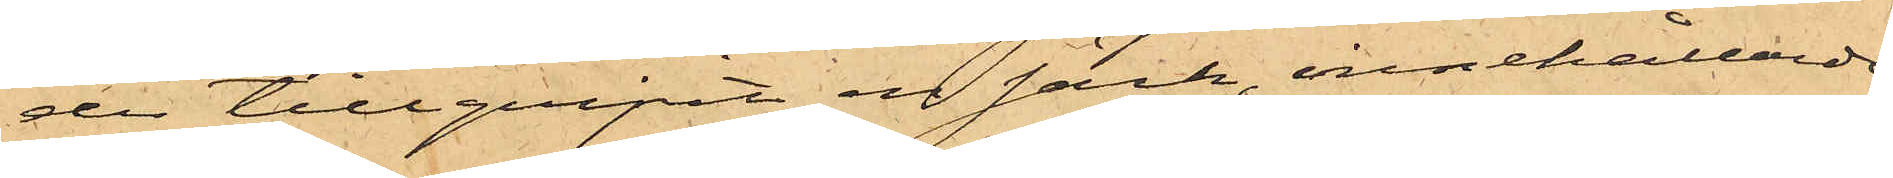der tillgripit en säck, innehållande
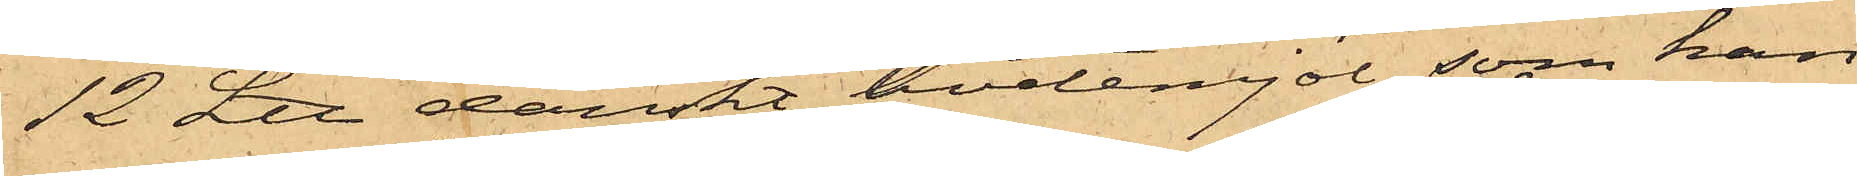12 L℔ danskt hvetemjöl, som han
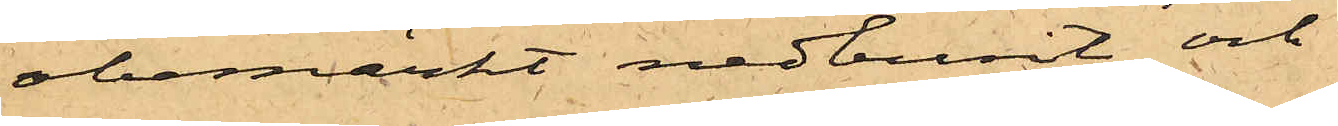obemärkt nedburit och
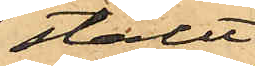ställt
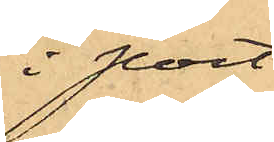i port¬
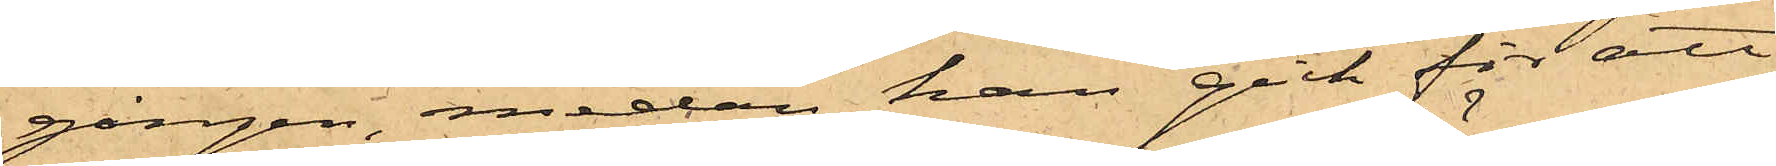gången, medan han gick för att
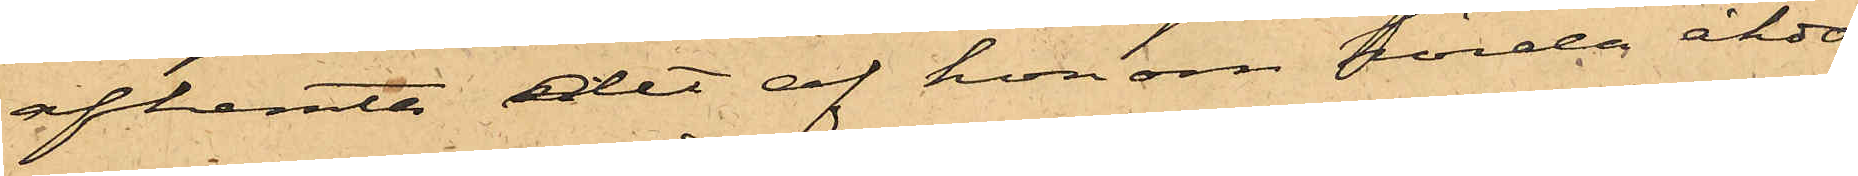afhemta det af honom förda åkdo¬
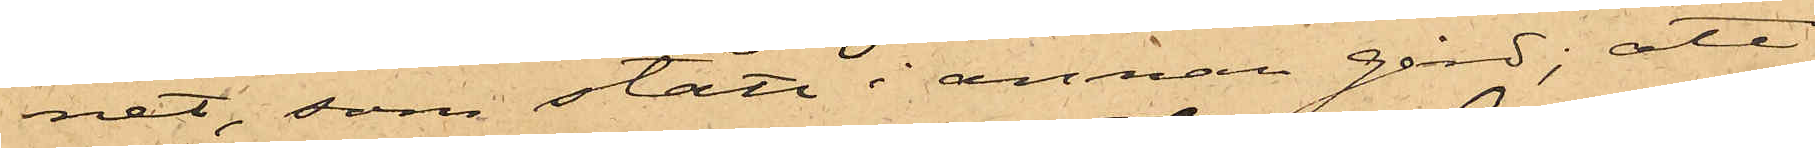nat, som stått i annan gård; att
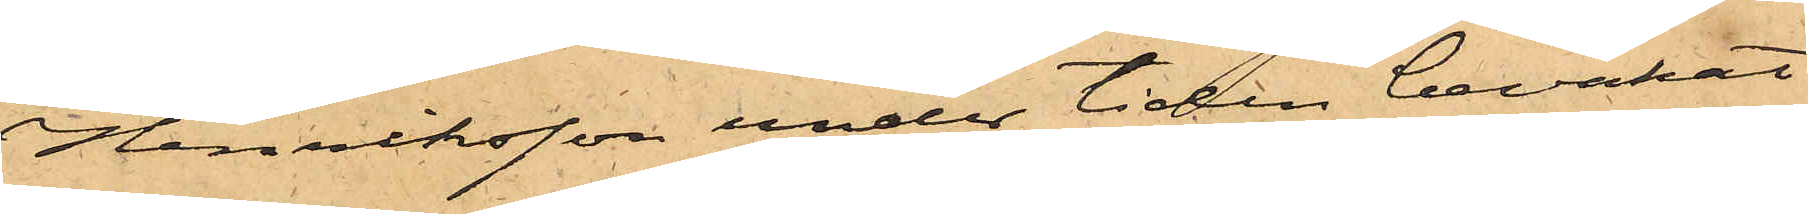Henriksson under tiden bevakat
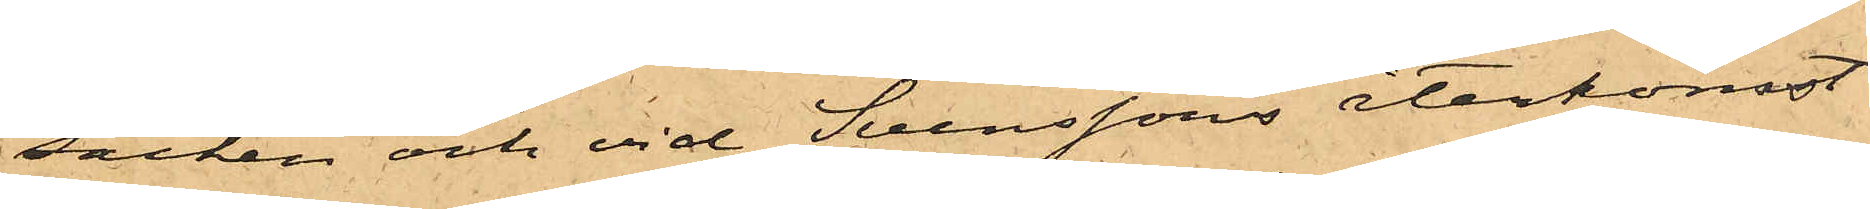säcken och vid Svenssons återkomst
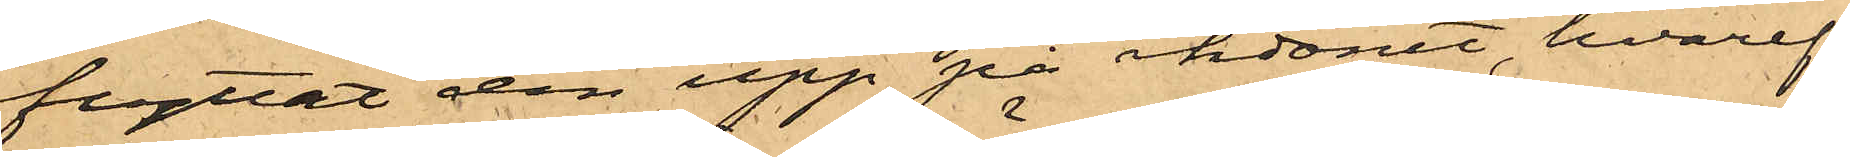flyttat den upp på åkdonet, hvaref¬
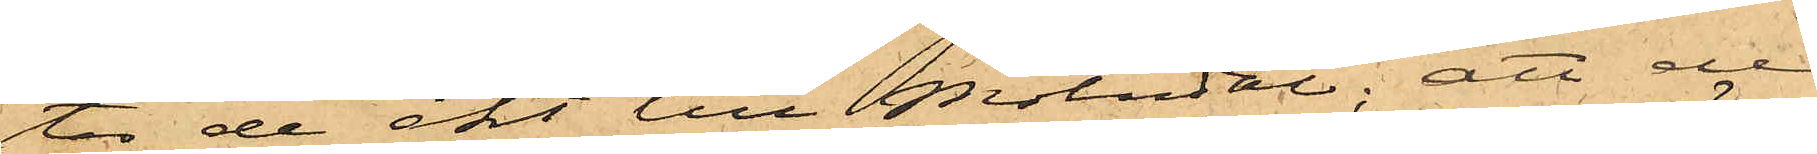ter de åkt till Mölndal; att de
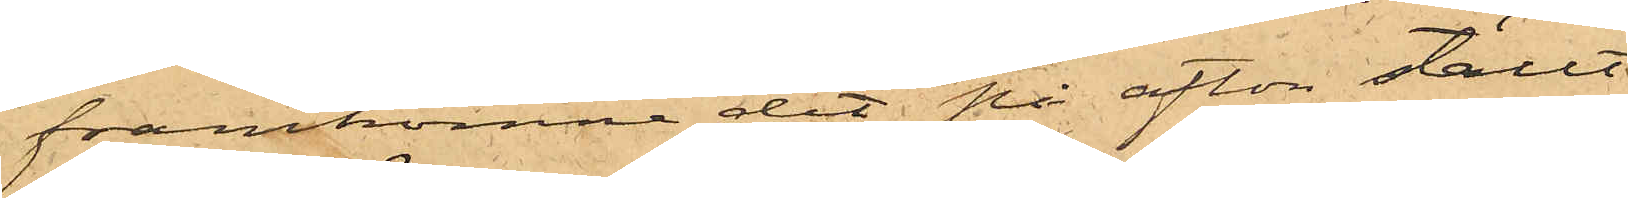framkomne dit på afton ställt
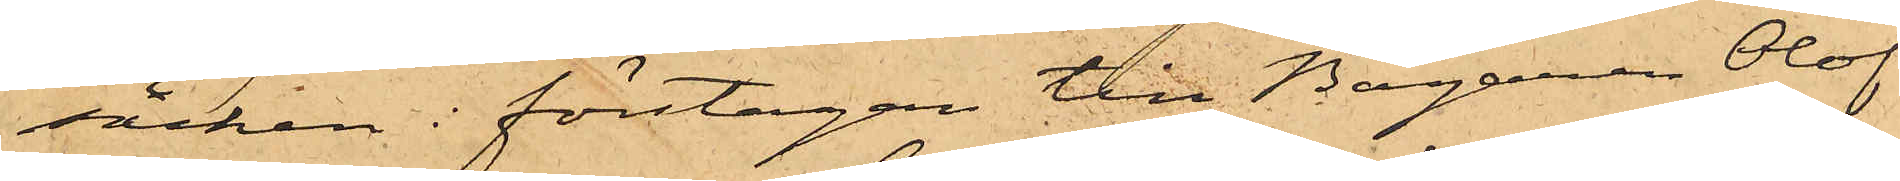säcken i förstugan till Bagaren Olof
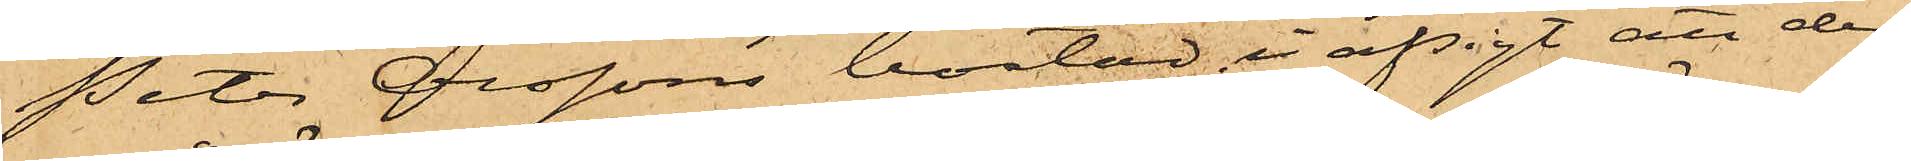Peter Olssons bostad i afsigt att der¬
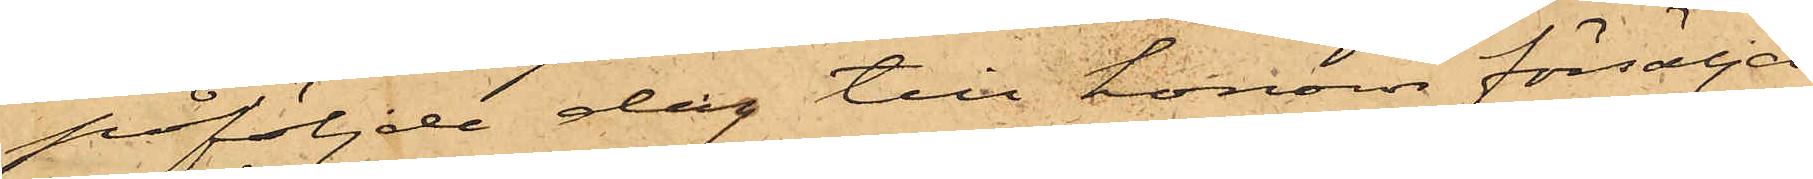påföljde dag till honom försälja
